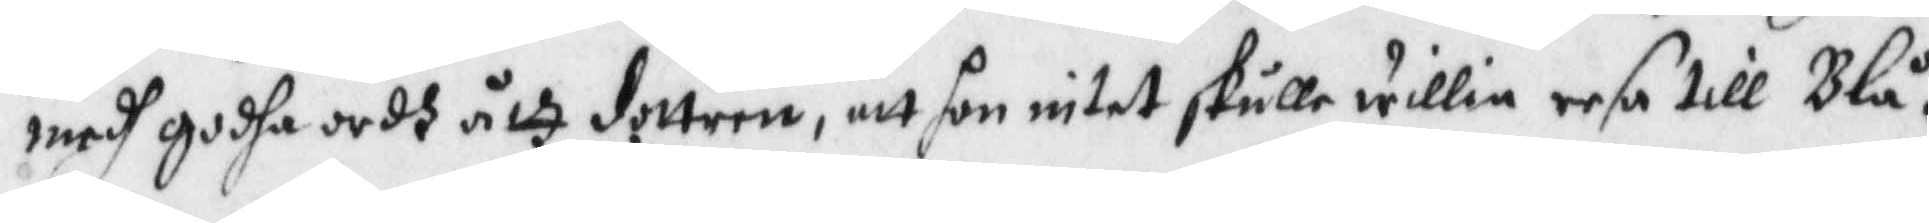medh godha ordh åth dottren, att hon intet skulle willia resa till Blå¬
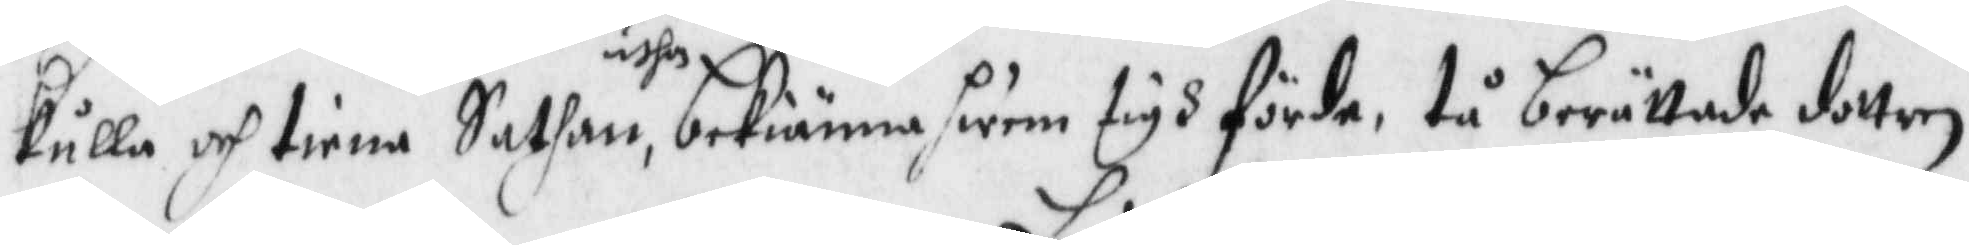kulla och tiena Sathan, uthan bekiänna hwem tigh förde, tå berättade dottren
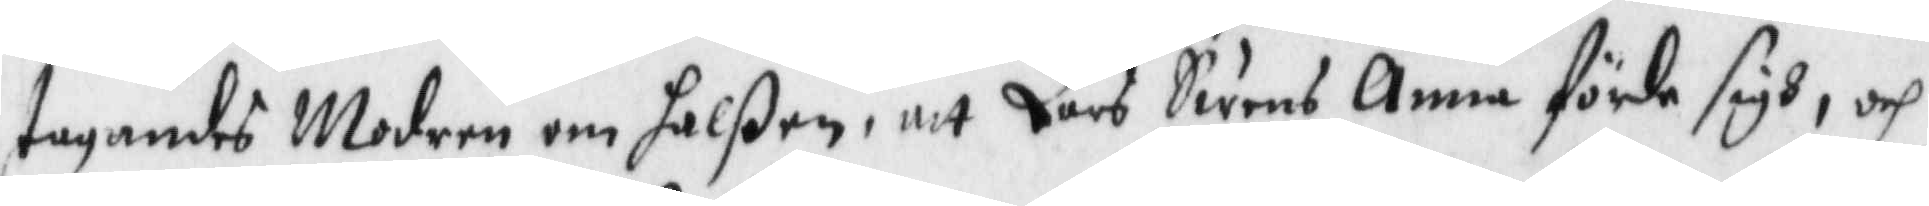tagandes Modren om halßen, att Lars Swens Anna förde sigh, och
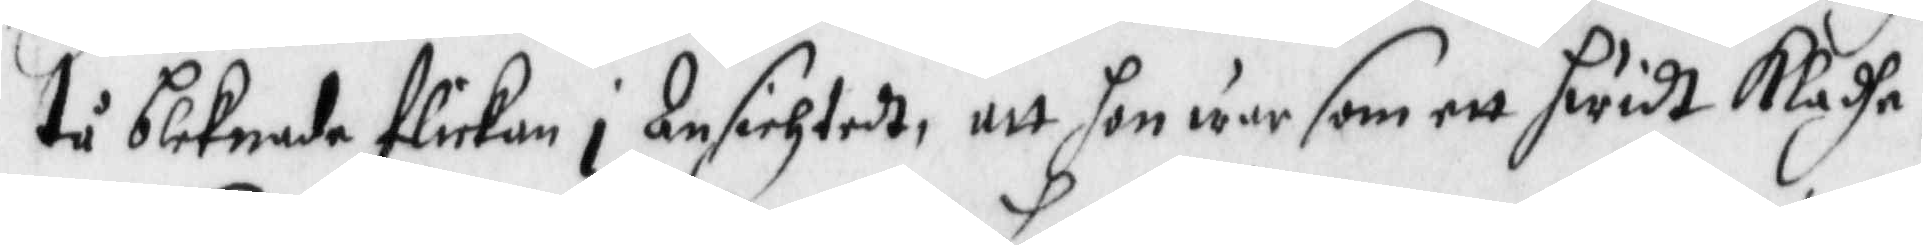tå bleknade flickan i Ansichtedt, ayy hon war som ett hwidt Kladhe,
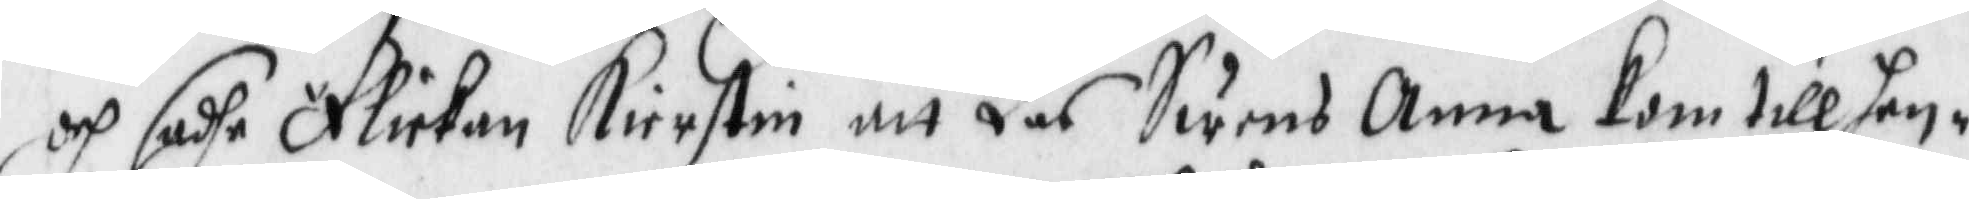och sdahe Flickan Kierstin att Las Swens Anna kom till hen¬
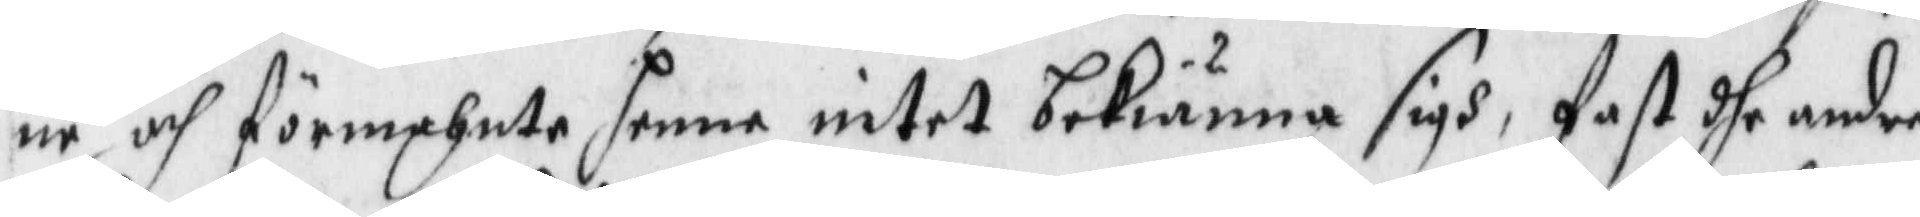ne och förmahnte henne intet bekiänna sigh, fast dhe andre
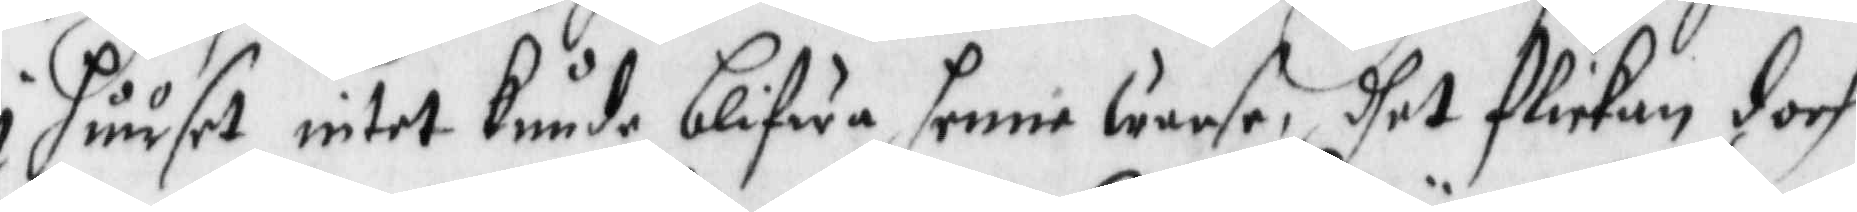i huuset intet kinde blifwa henne warse, dhet flickan doch
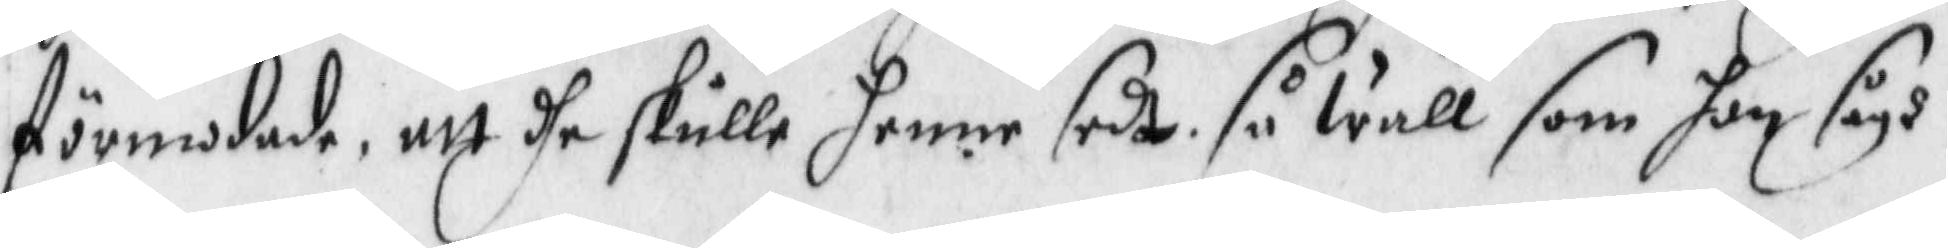förmodade, att dhe skulle henne sedt, så wäl som hon sågh
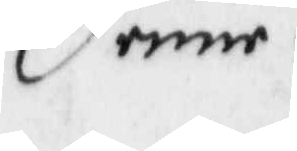henne.
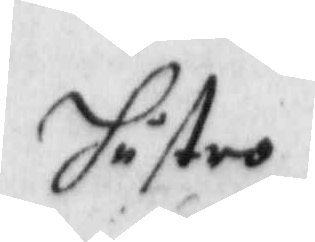Hustro
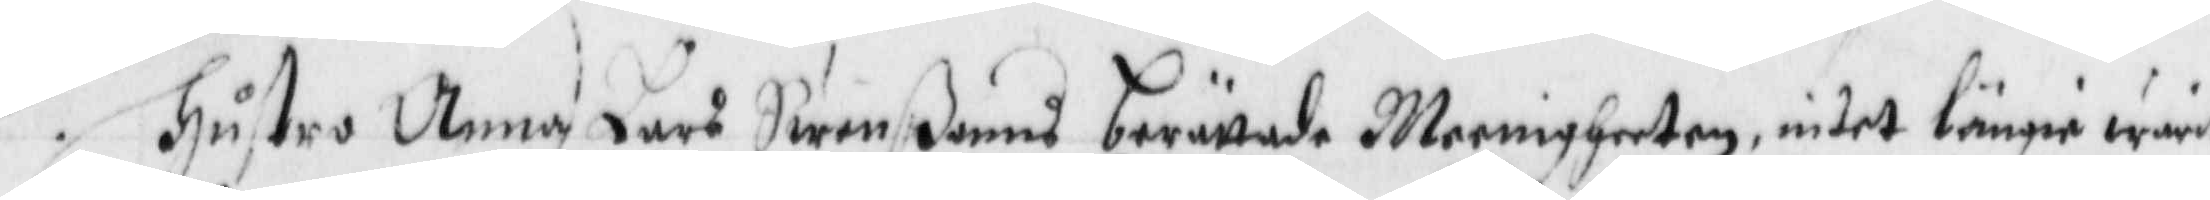Hustro Anna Lars Swenons berättade Meenigheeten, intet längie warit
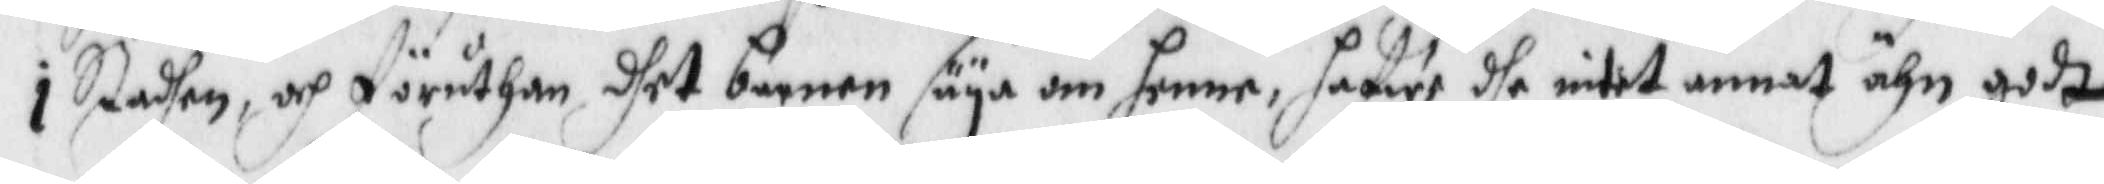i Stadhen, och föruthan dhet barnen säya om henne, hafwe dhe intet annat ähn godt
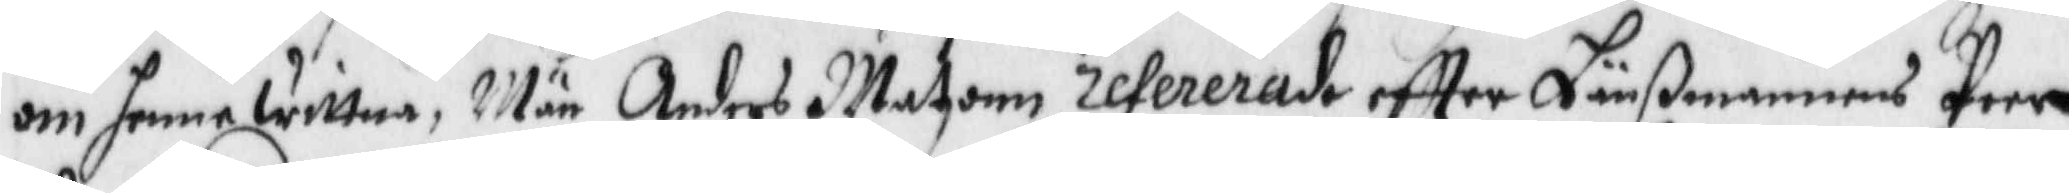om henne wittna, Män Anders Matzonn refererade eftter Länßmannens Peer
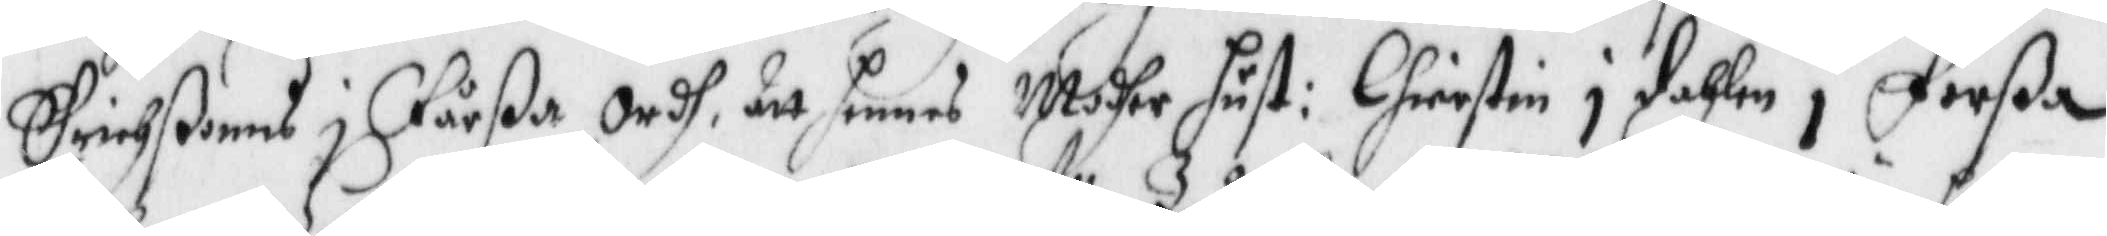Erichßons i Fårßa ordh att hennes Modher hust: Chierstin i dahlen i Forßa
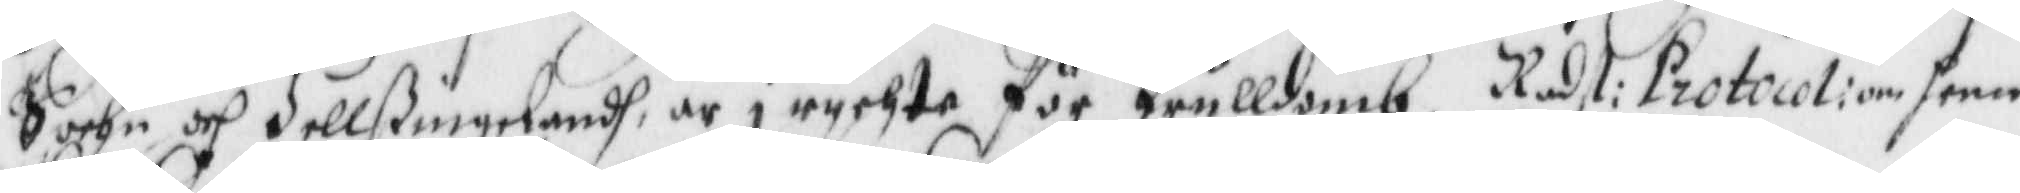Sochn och Hellßingelandh, är i rychte för Trulldomb. Radst: Protocoli om henne
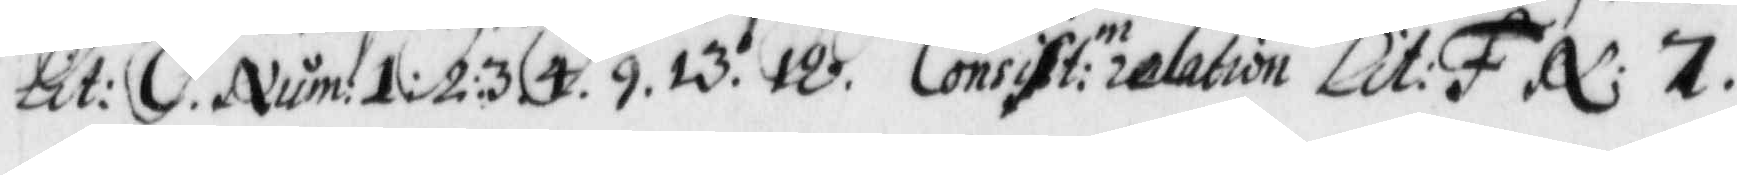Lit: C. Num: 1:2:3.4.9.13.18. Consist:n relation Lit: F N: 7
